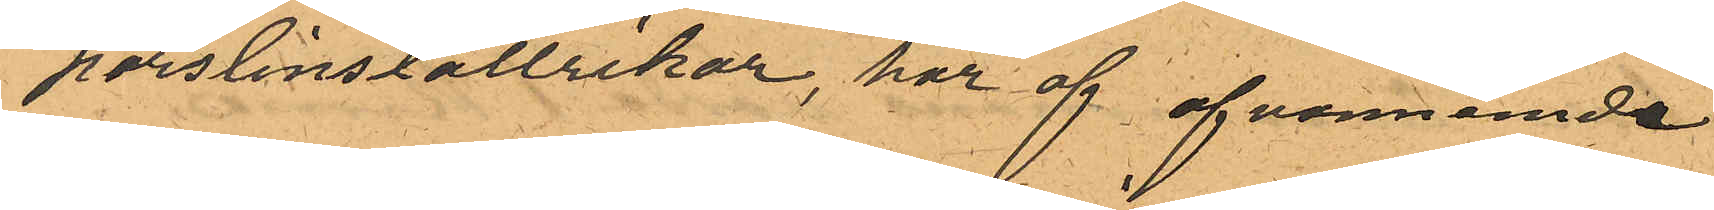porslinstallrikar, har af ofvannämde
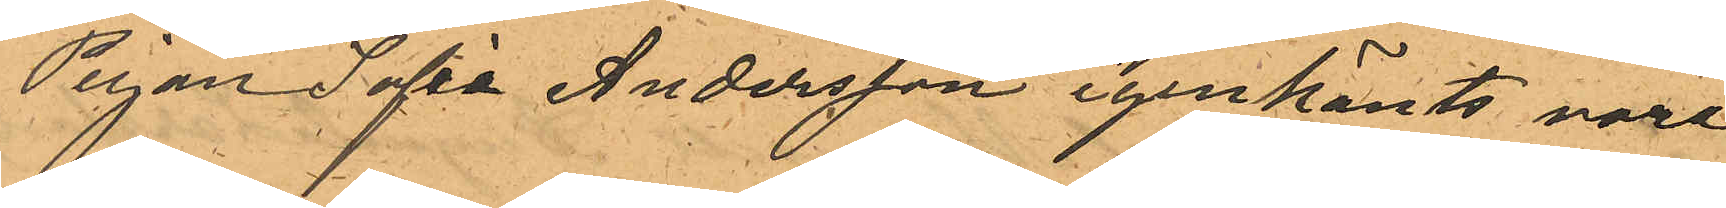Pigan Sofia Andersson igenkänts vara
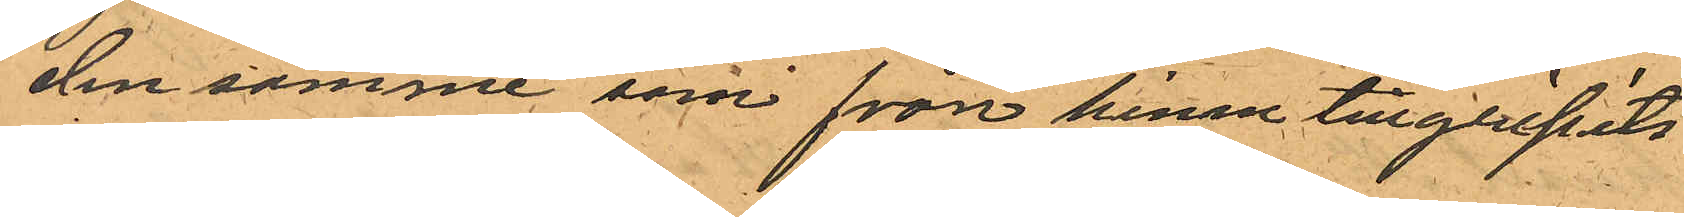den samme som från henne tillgripits
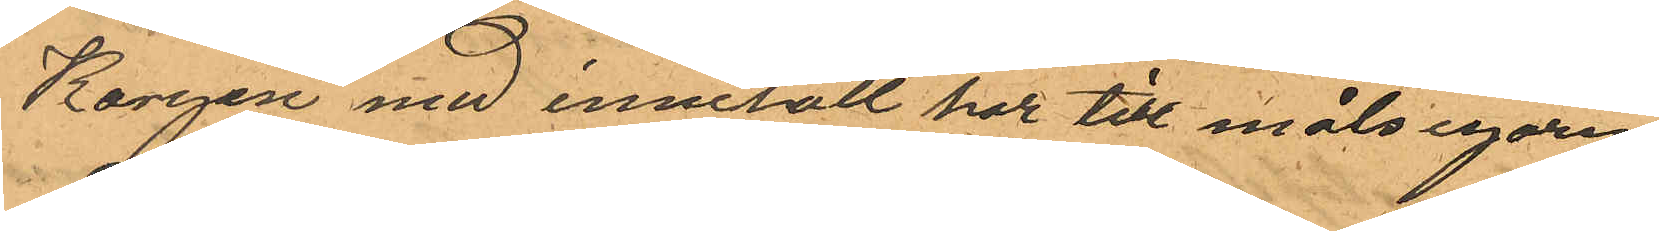Korgen med innehåll har till målsegaren
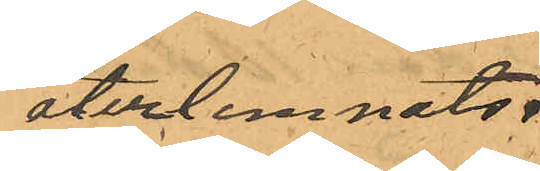återlemnats.
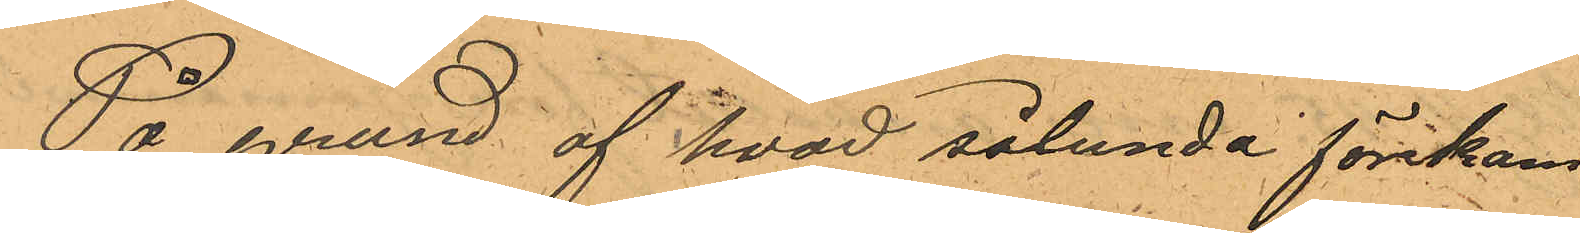På grund af hvad sålunda förekom¬
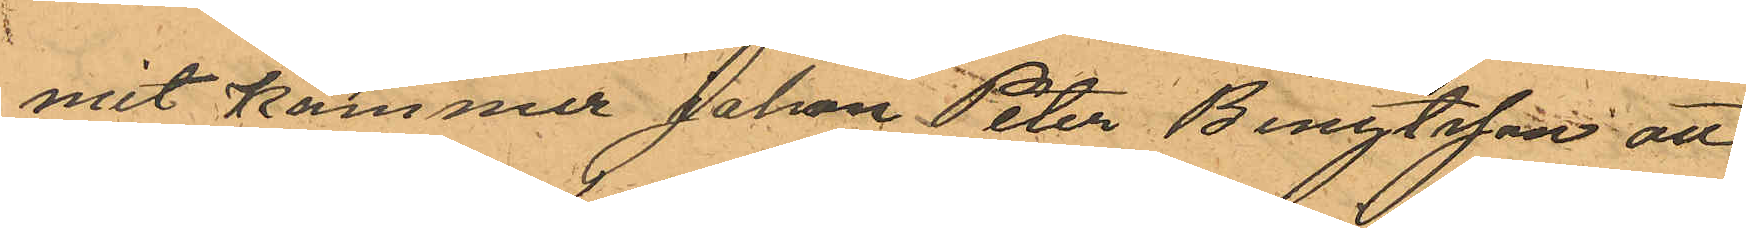mit kommer Johan Peter Bengtsson att
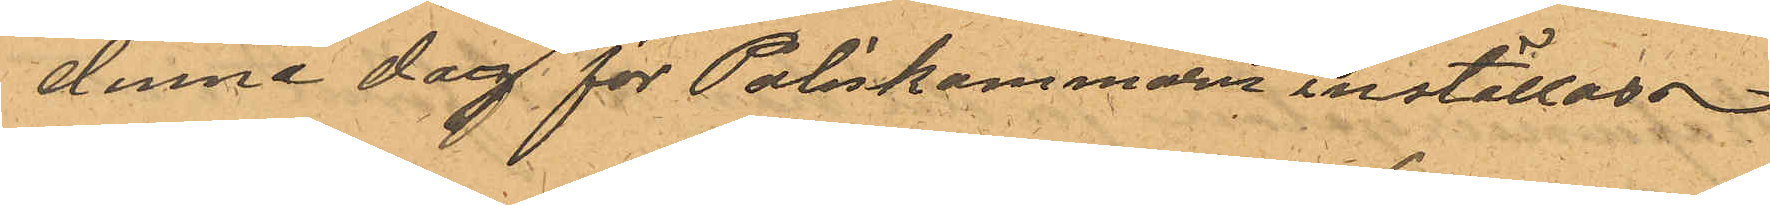denna dag för Poliskammaren inställas
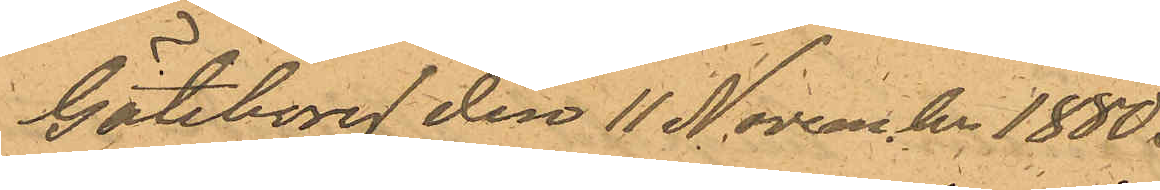Göteborg den 11 November 1880.
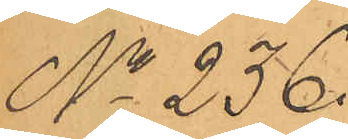No 236.
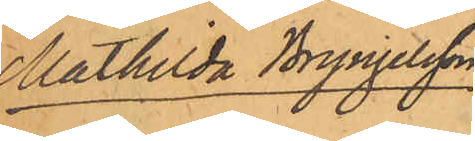Mathilda Brynjelsson
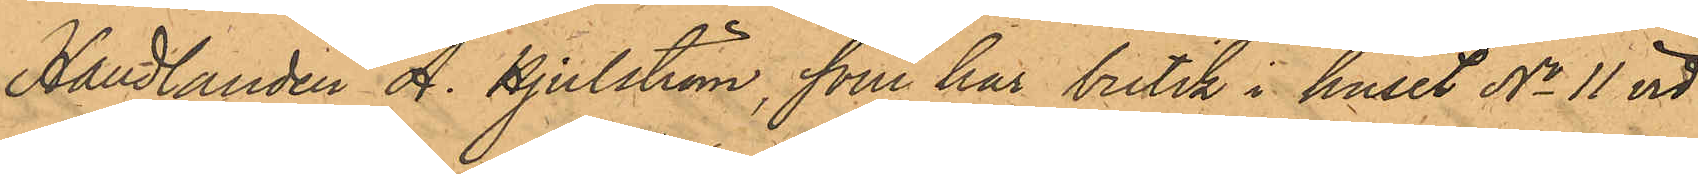Handlanden A. Hjulström, som har butik i huset No 11 vid
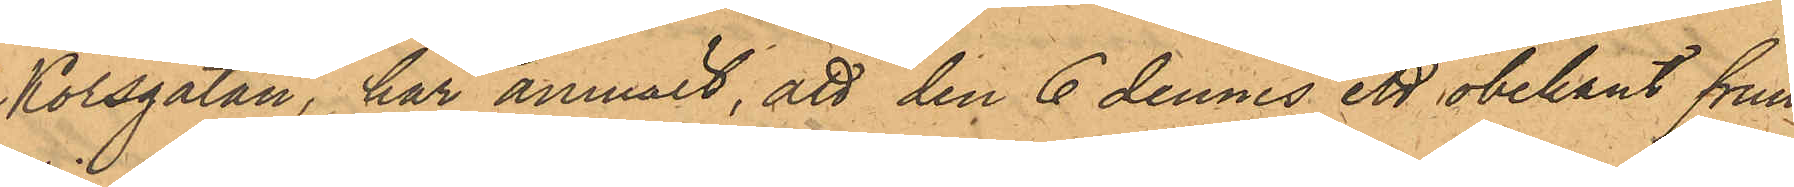Korsgatan, har anmält, att den 6 dennes ett obekant frun¬
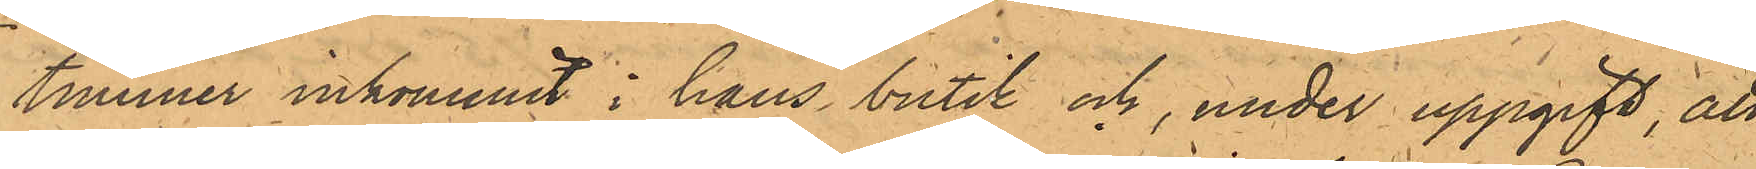timmer inkommit i hans butik och, under uppgift, att
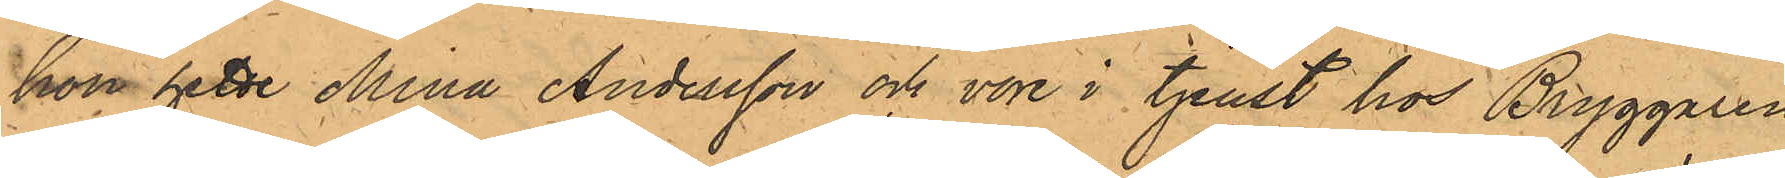hon hette Mina Andersson och vore i tjenst hos Bryggaren
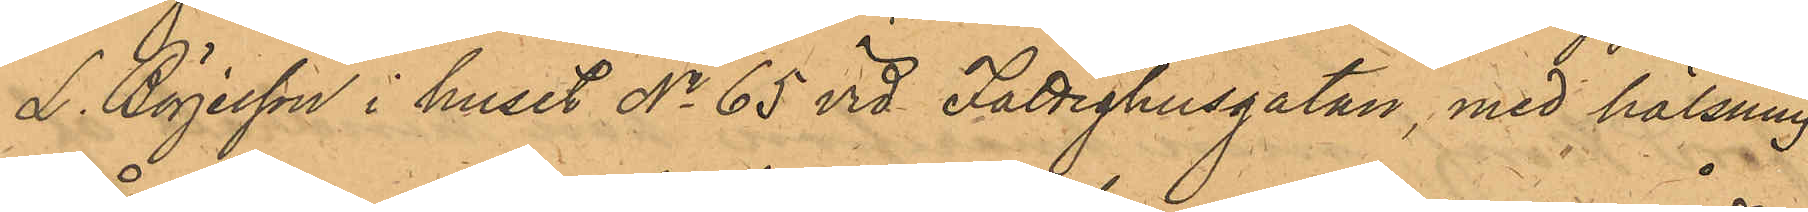L. Börjesson i huset No 65 vid Fattighusgatan, med hälsning
